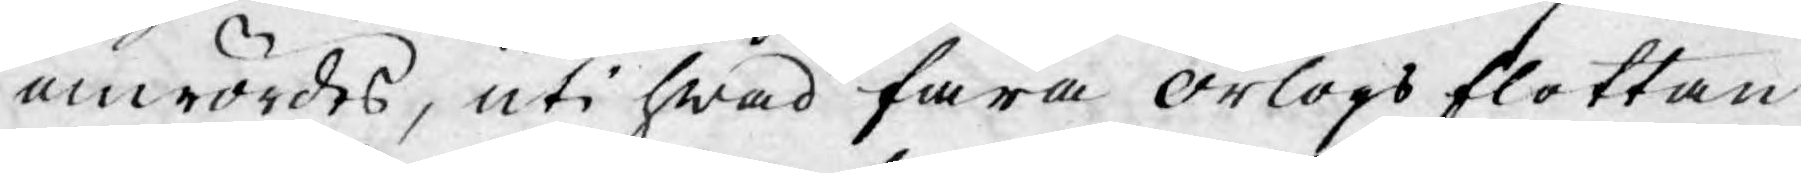omrördes, uti hwad fara örlogs flottan
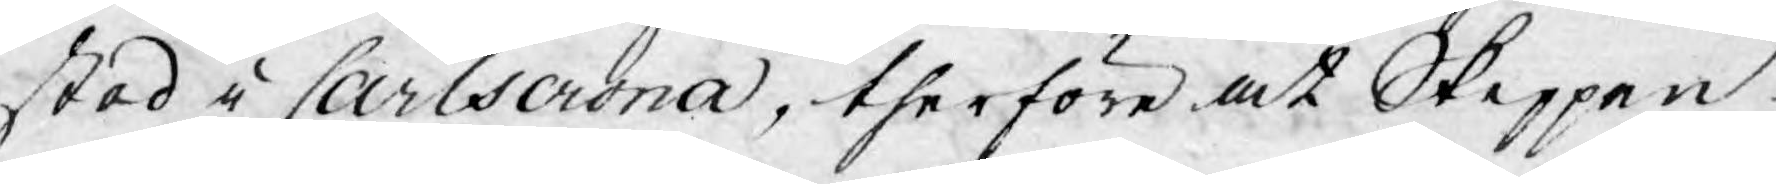stod i Carlscrona, therföre at Skeppen
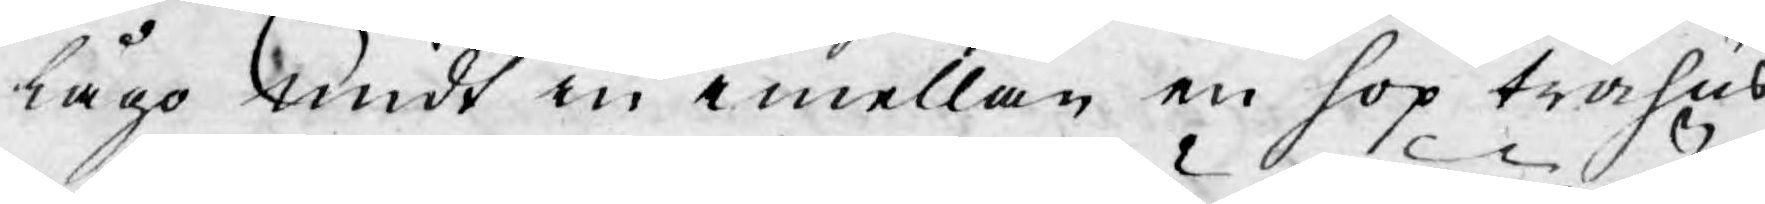lågo midt in emellan en hop trähus
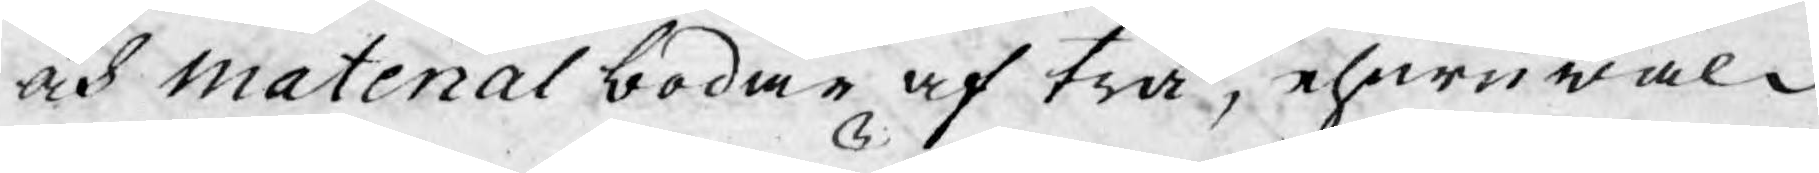och Material bodar af trä, ehuruwäl
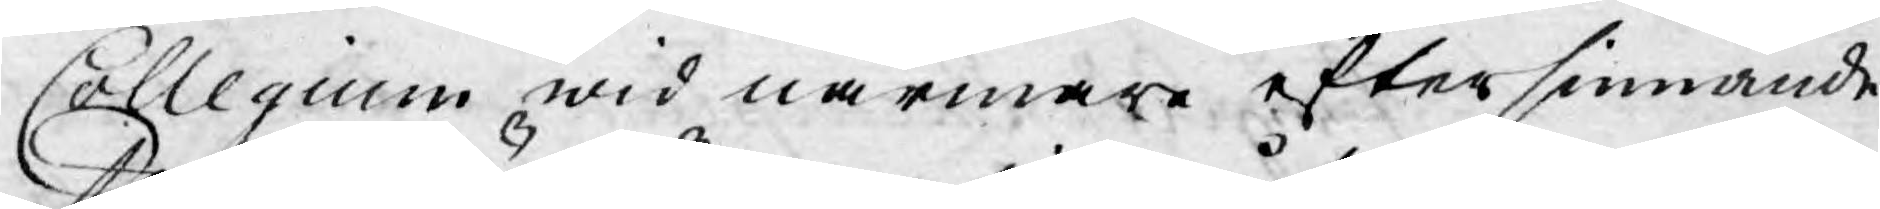Collegium wid närmare eftersinnande
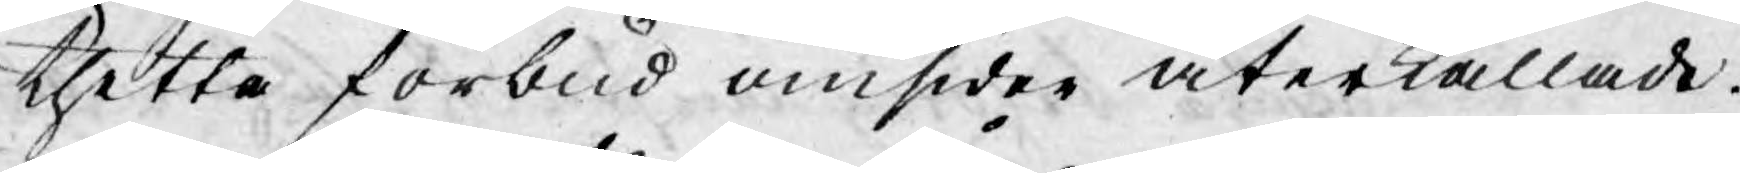thetta förbud omsider återkallade.
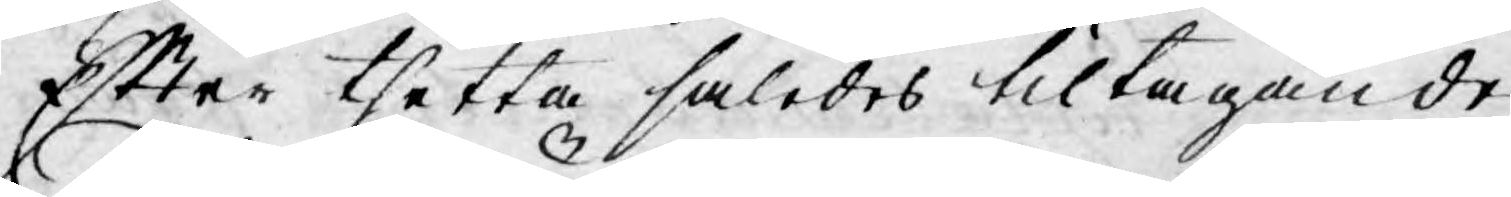Efter thetta således tiltagande
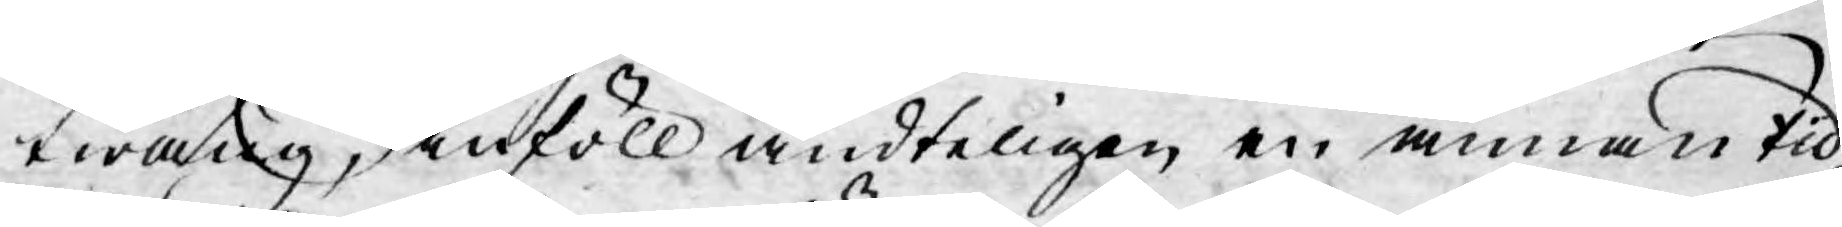twång, inföll ändteligen en annan tid,
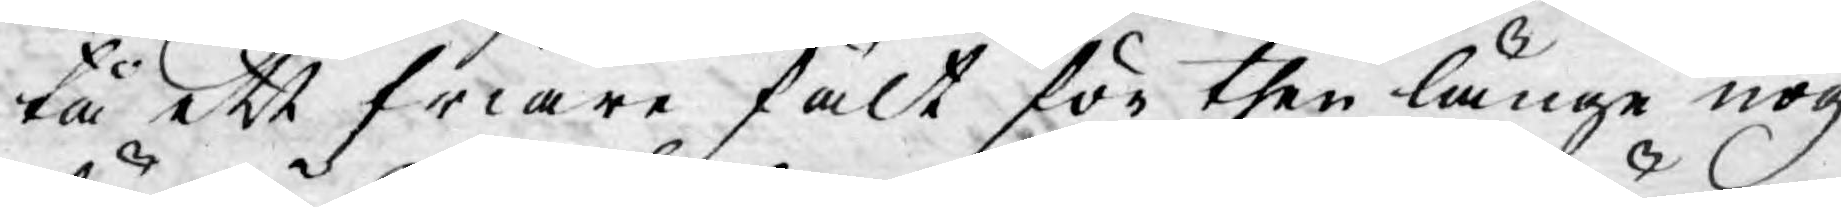tå ett friare fält för then länge nog
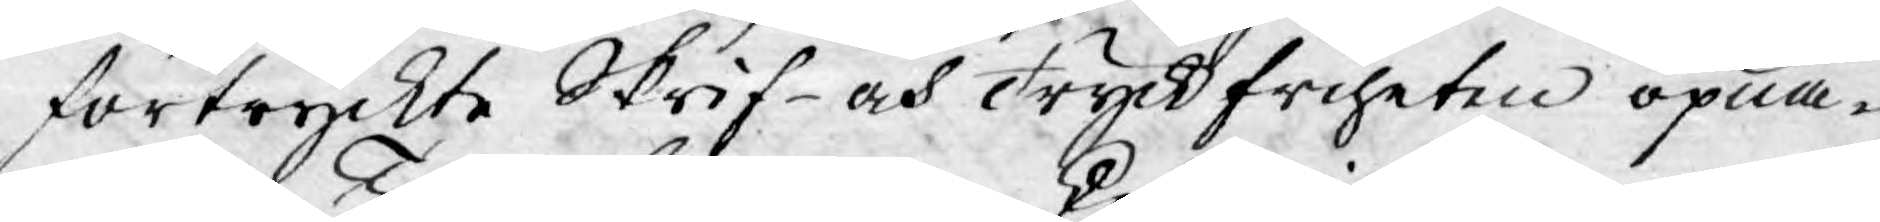förtryckte Skrif- och Tryckfriheten öpna-
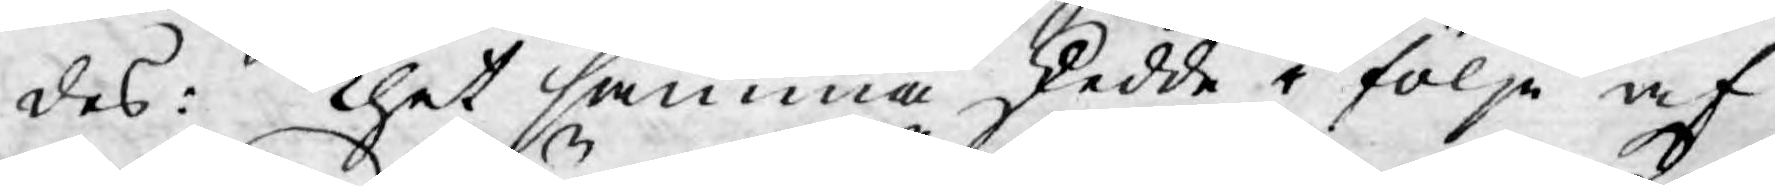des: Thet samma skedde i följe af
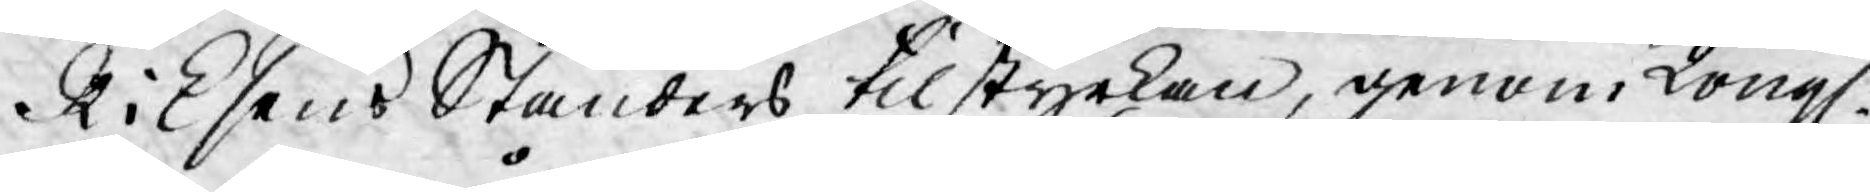Riksens Ständers tilstyrkan, genom Kongl.
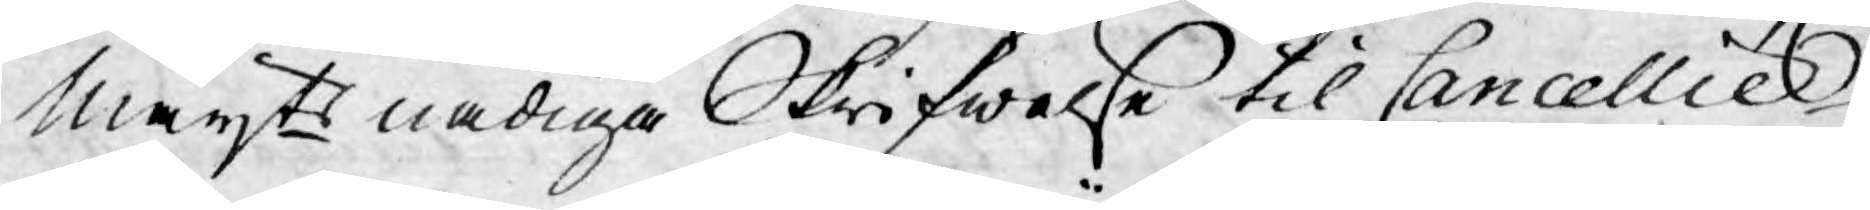Mayts nådiga Skrifwelse til Cancellie
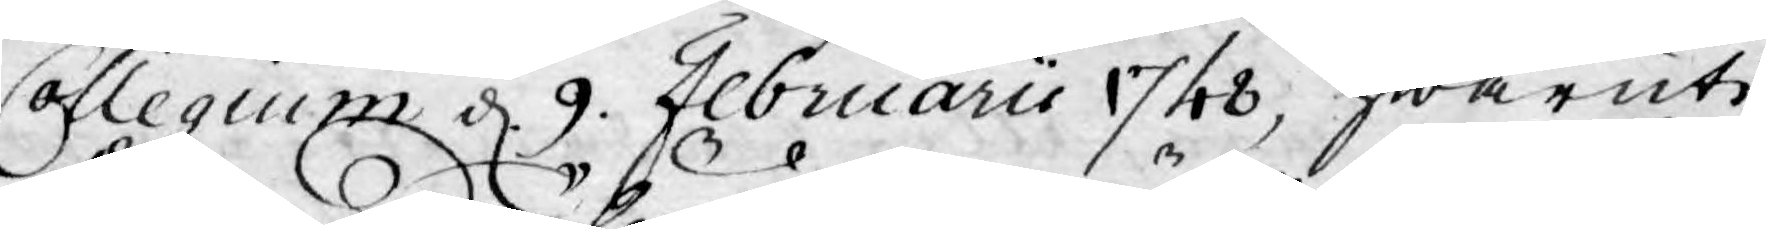Collegium d. 9. Februarii 1748, hwaruti
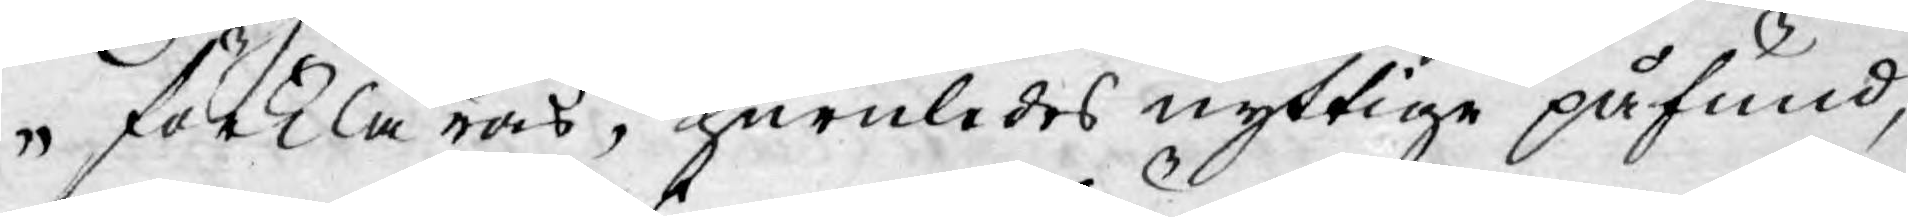förklaras, huruledes nyttige påfund,
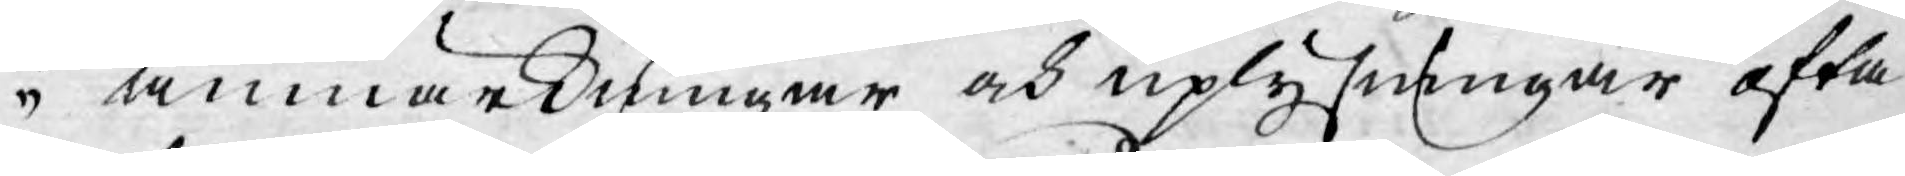anmärkningar och uplysningar ofta
